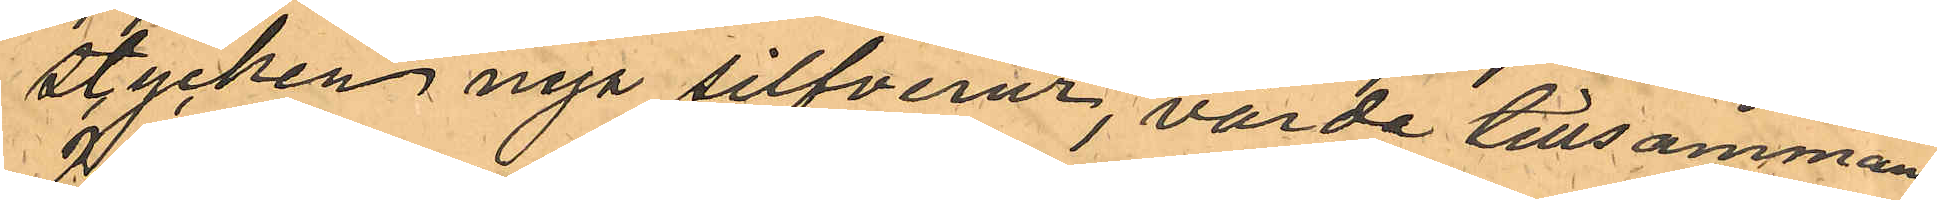stycken nya silfverur, värde tillsammans
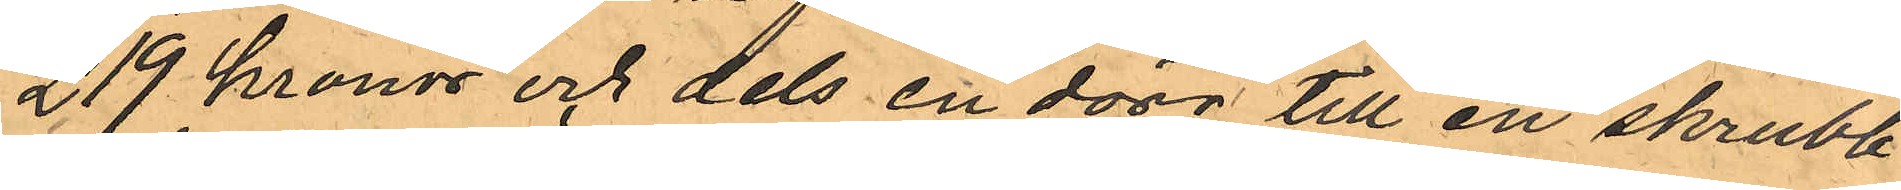219 kronor och dels en dörr till en skrubb
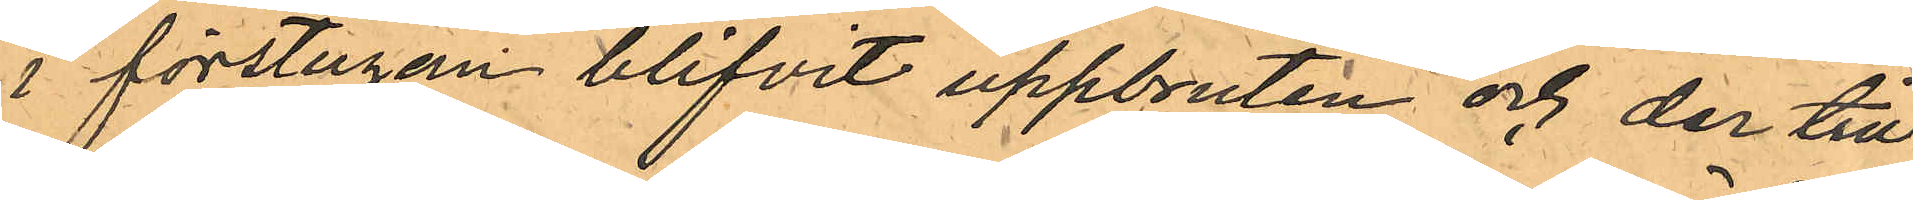i förstugan blifvit uppbruten och der til¬
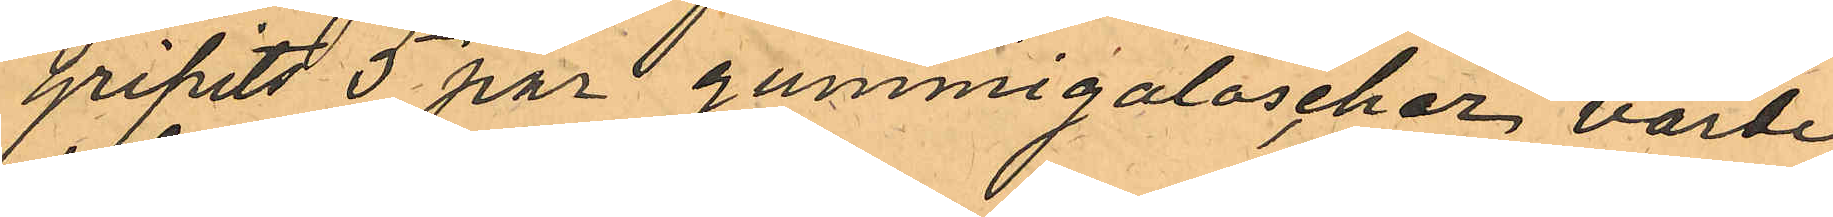gripits 5 par gummigaloscher värde
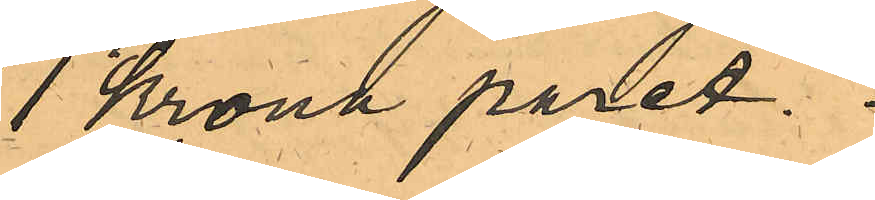1 Krona paret.
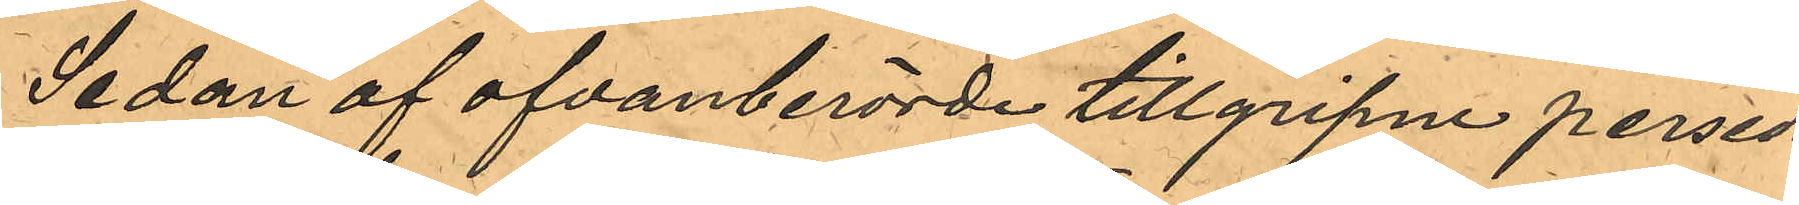Sedan af ofvanberörde tillgripne persed¬
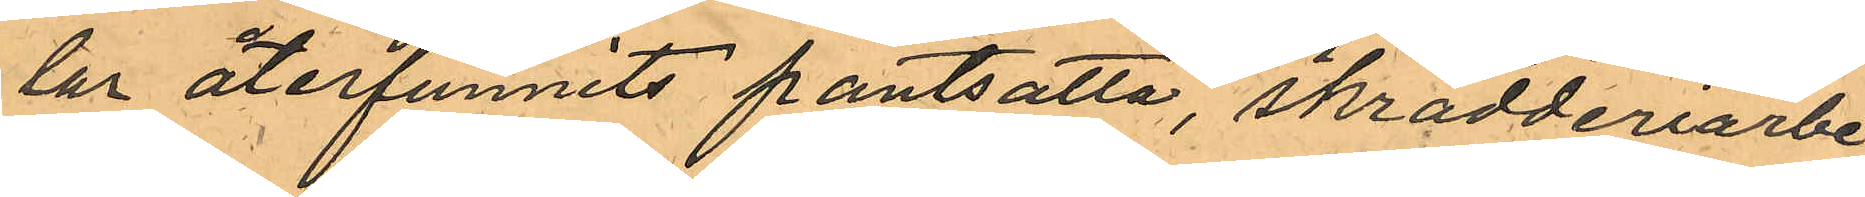lar återfunnits pantsatta, skrädderiarbe¬
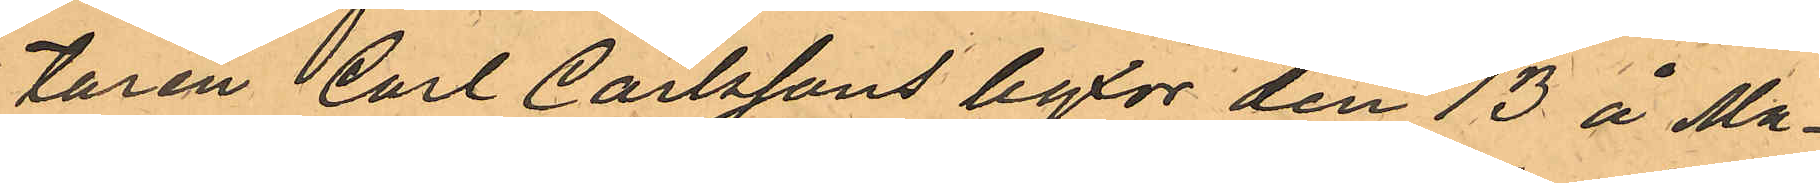taren Carl Carlssons byxor den 13 å Ma¬
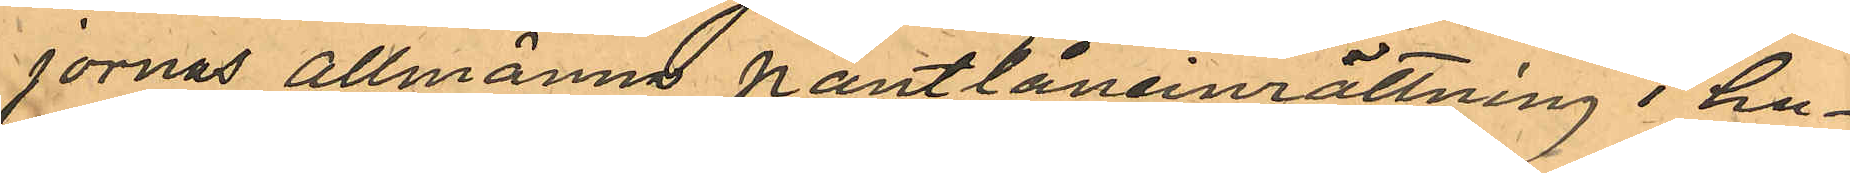jornas Allmänna Pantlåneinrättning i hu¬
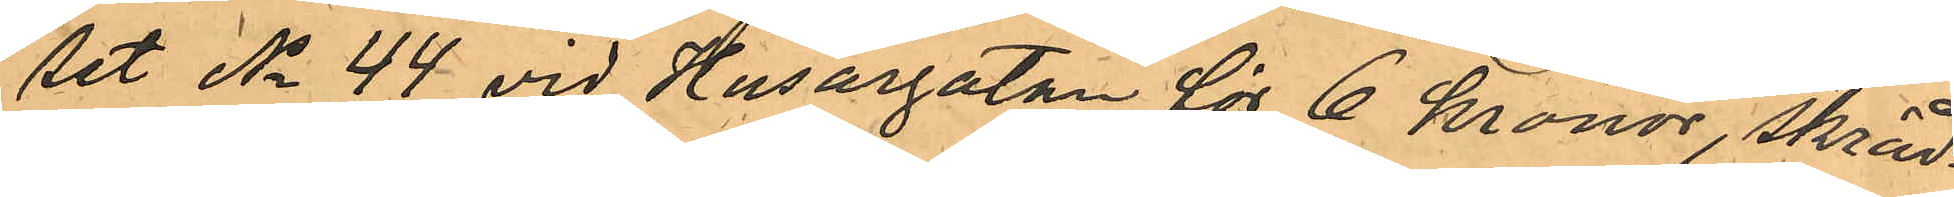set No 44 vid Husargatan för 6 kronor, skräd¬
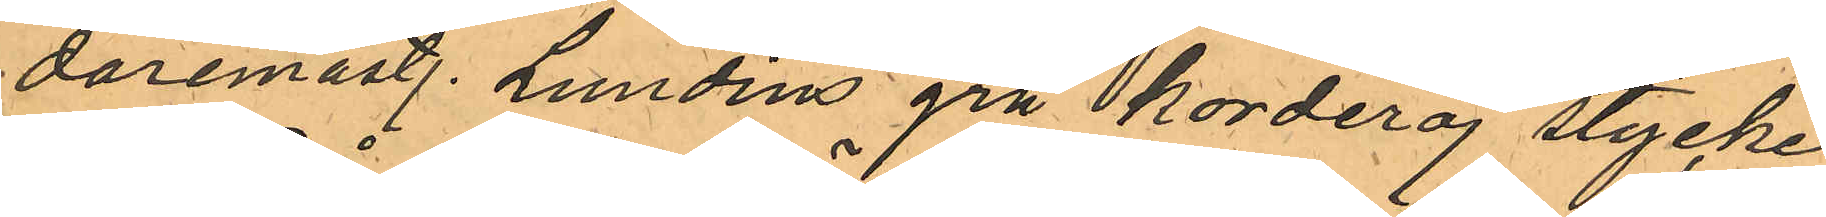daremäst. Lundins grå korderoj stycke
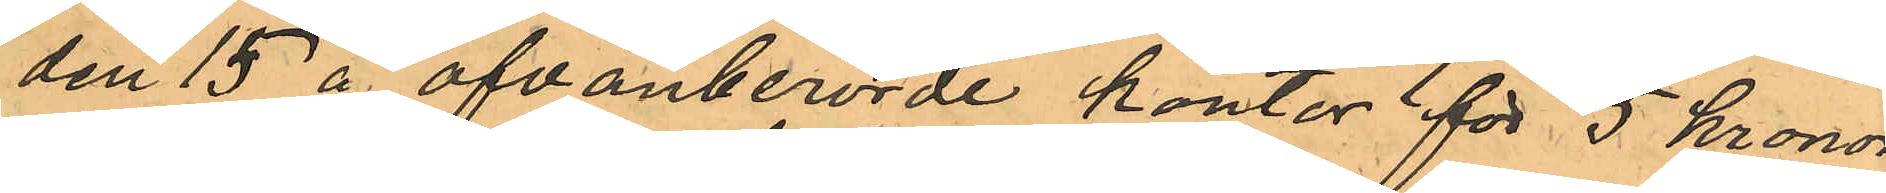den 15 å ofvanberörde kontor för 5 kronor,
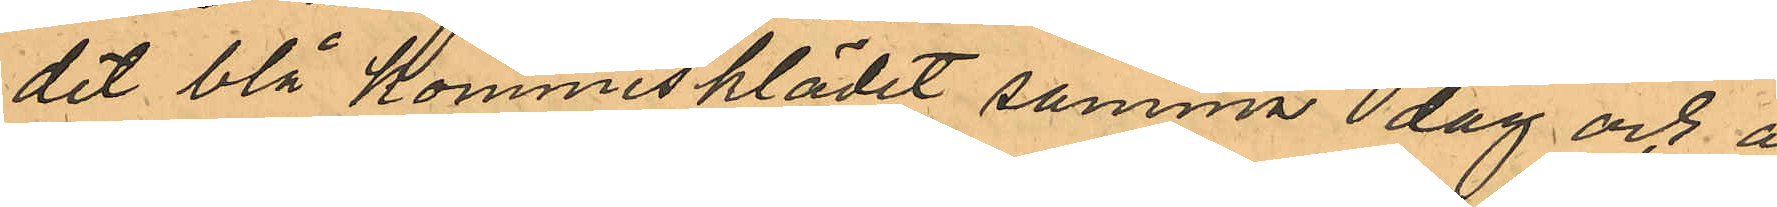det blå kommisklädet samma dag och å
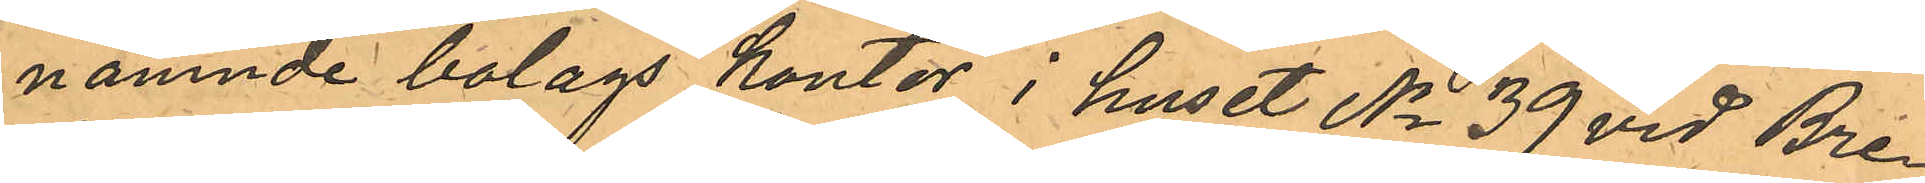nämnde bolags kontor i huset No 39 vid Bre¬
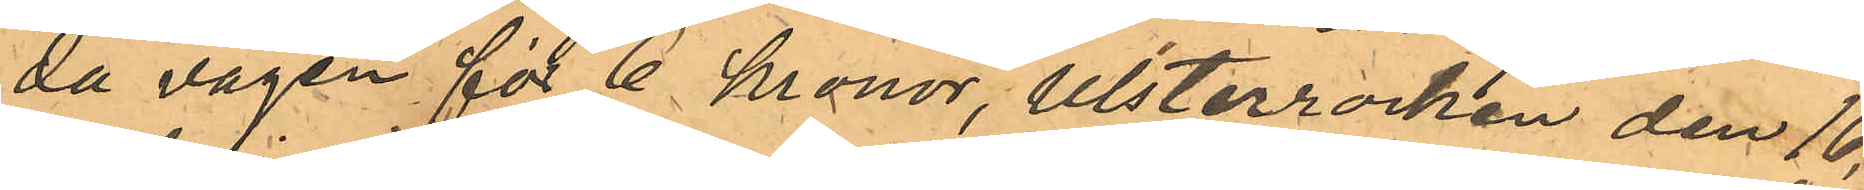da vägen för 6 kronor, Ulsterrocken den 16,
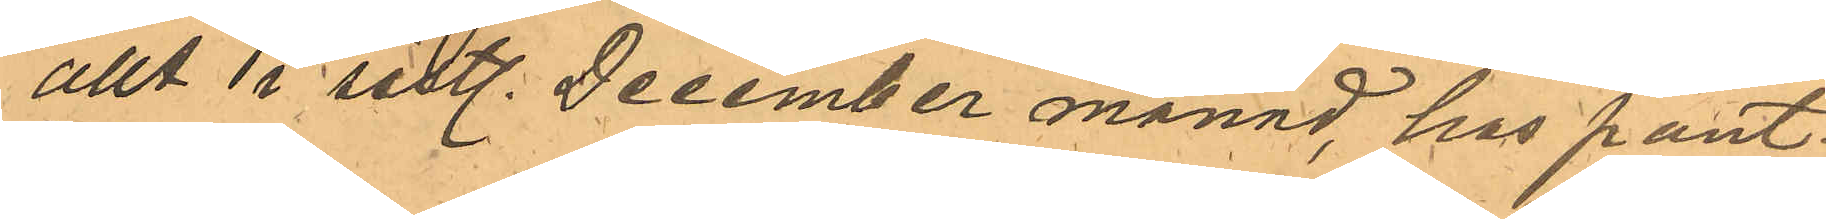allt i sistl. December månad, hos pant¬
